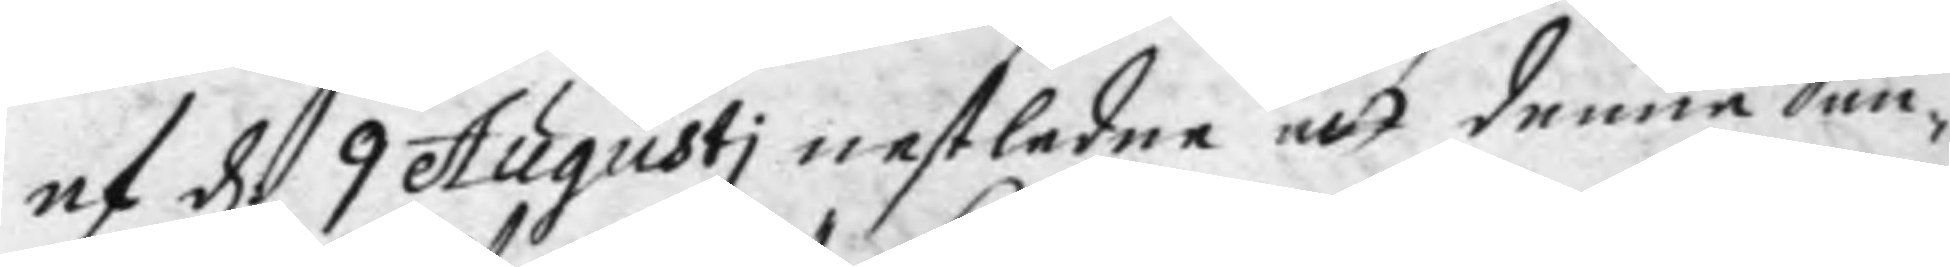af d 9 Augusti nestledne att denne San¬
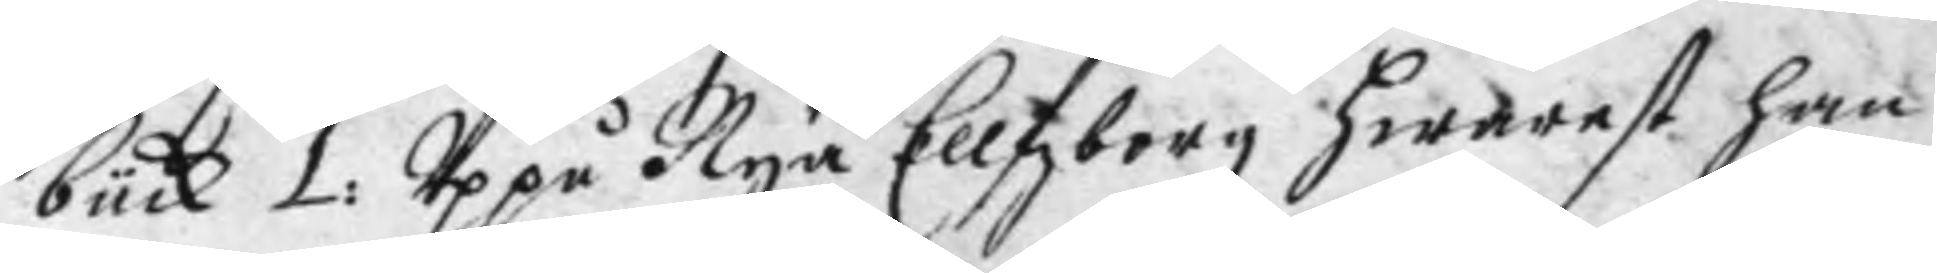bück 1: Uppå Nya Ellfzborg hwarest han
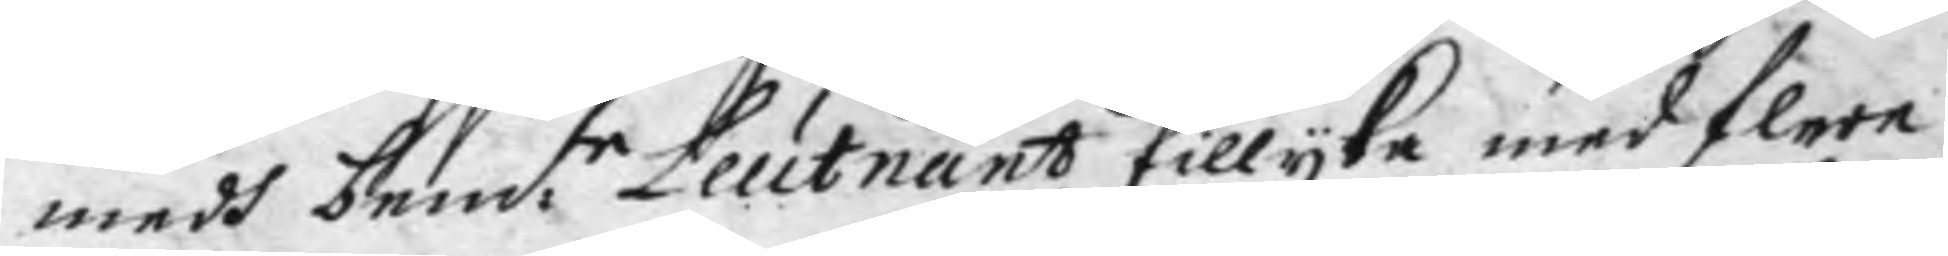medh bem:te Leutnant tillyka med flere
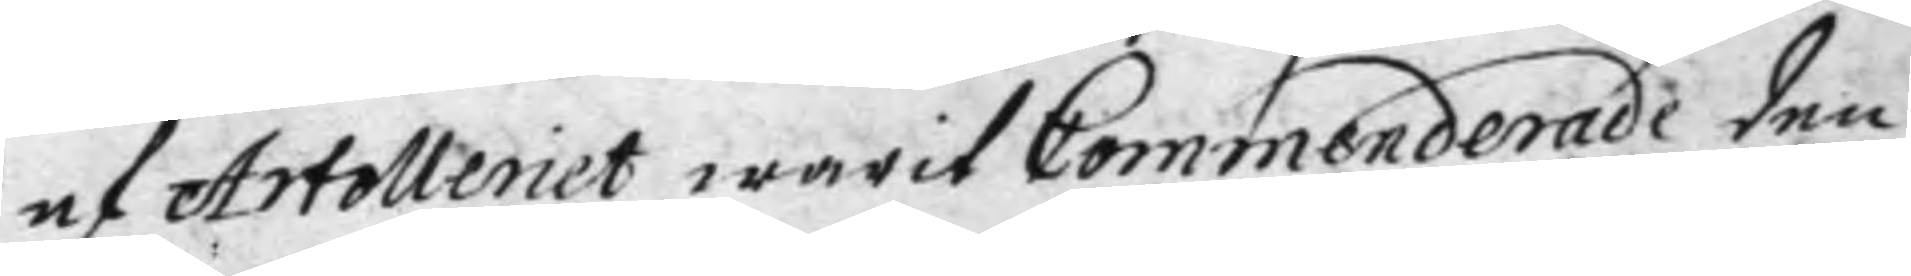af Artolleriet warit Commenderade den
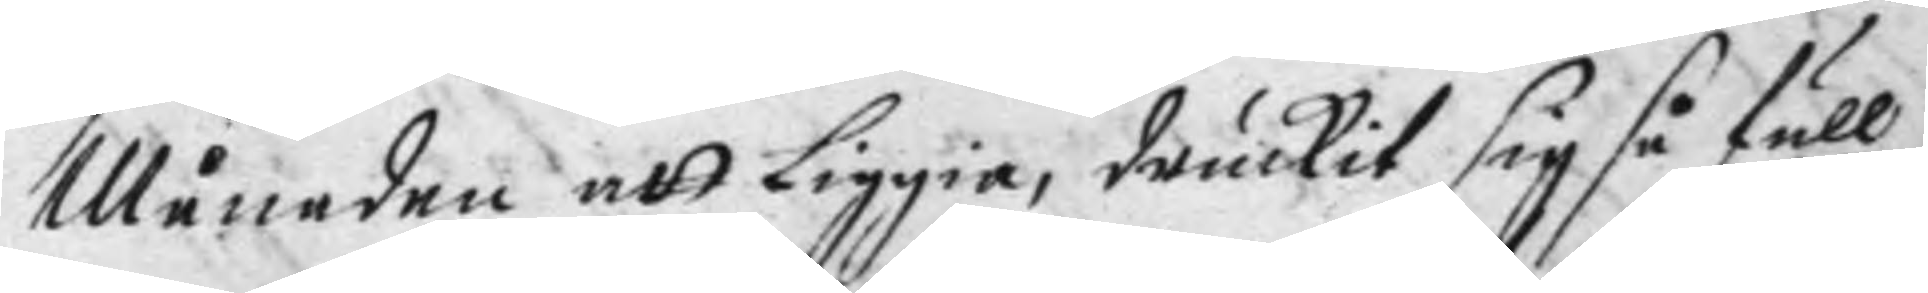Månaden att Liggia, druckit sig så full
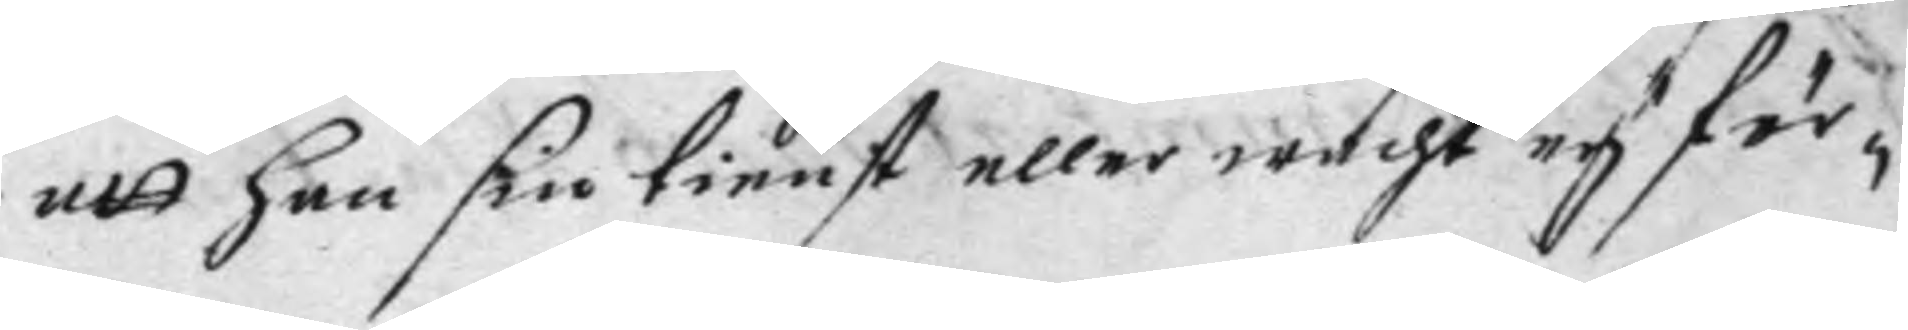att han sin tienst eller wacht ey för¬
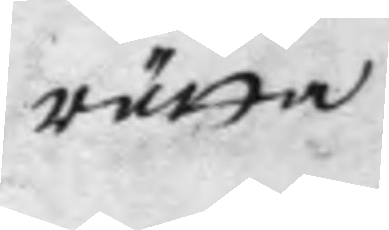rätta
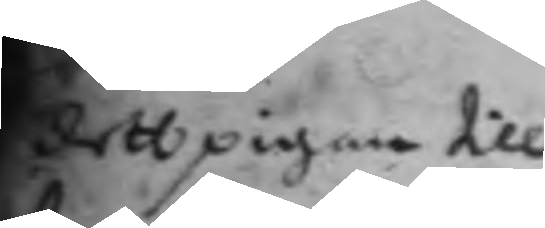dett pigan till¬
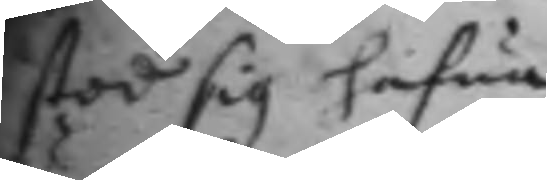stod sig hafwa
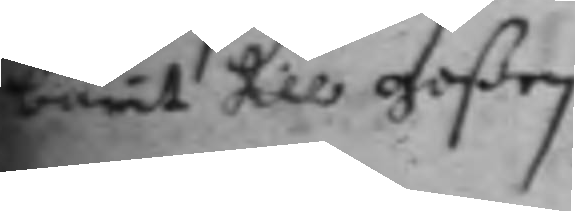burit till goßen
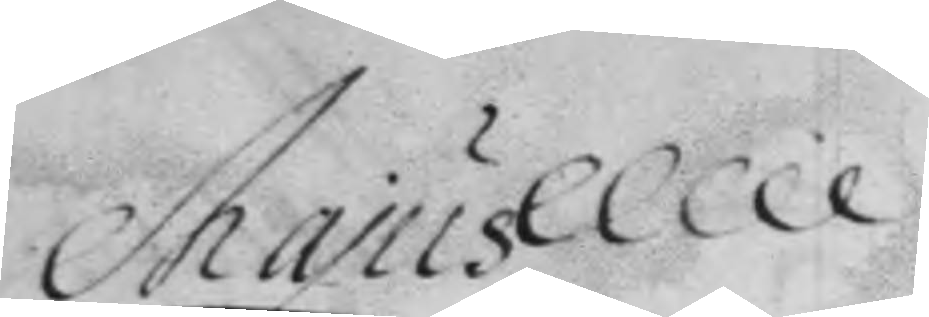Majus
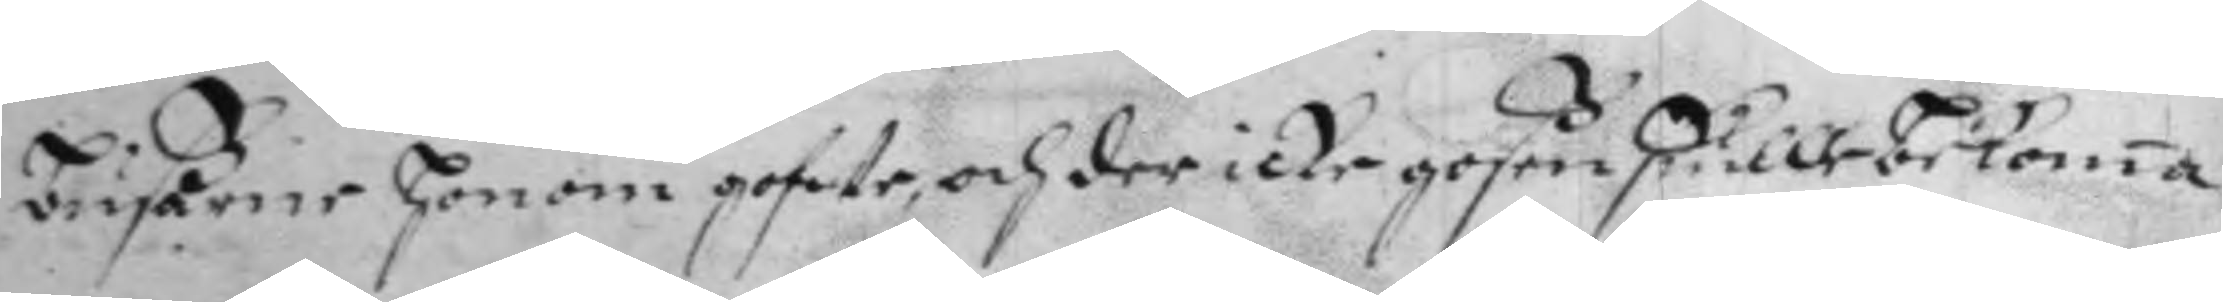bußårne honom gofote, och der icke goßen skulle bekoma 
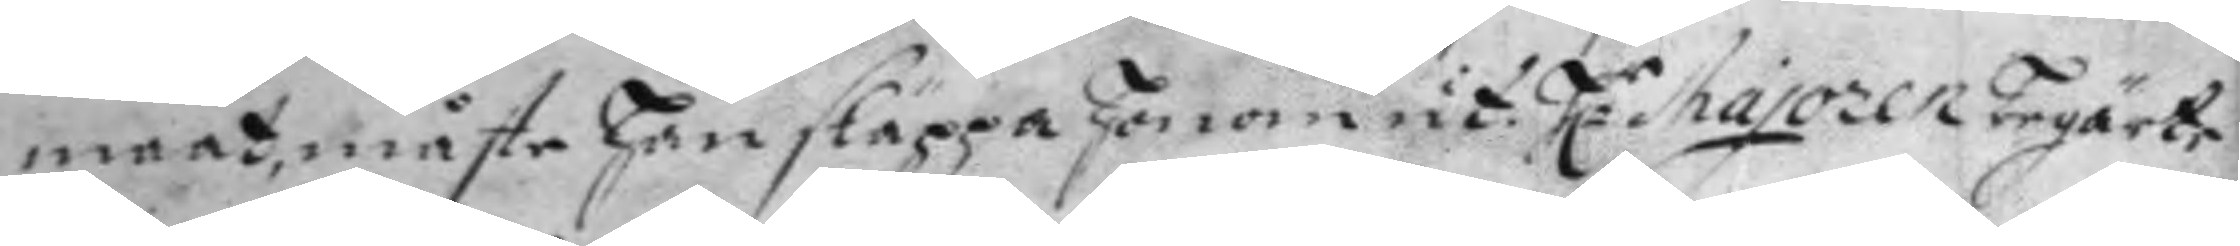maat. måste han släppa honom ut. H:r Majoren begärte
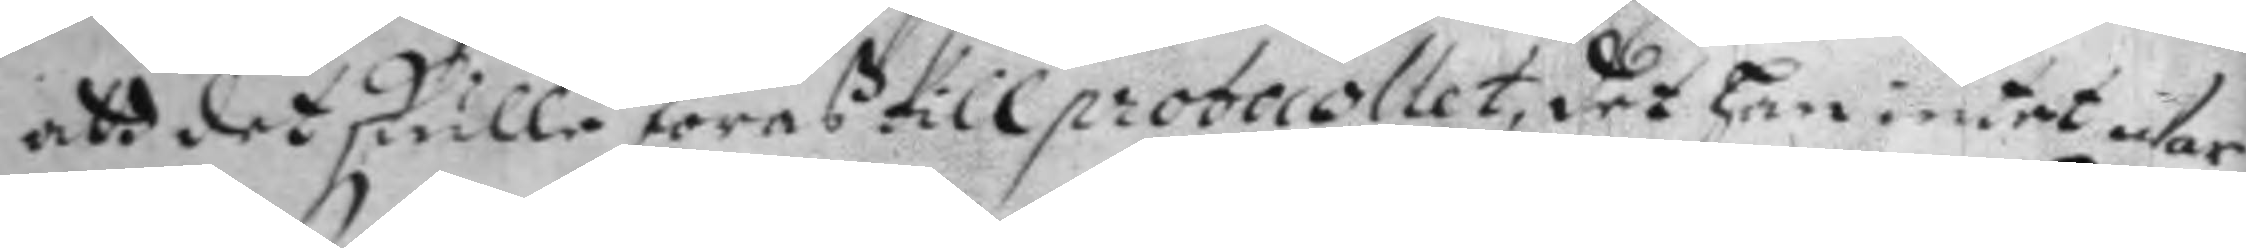att det skulle föras till protocoller, det han ontet war
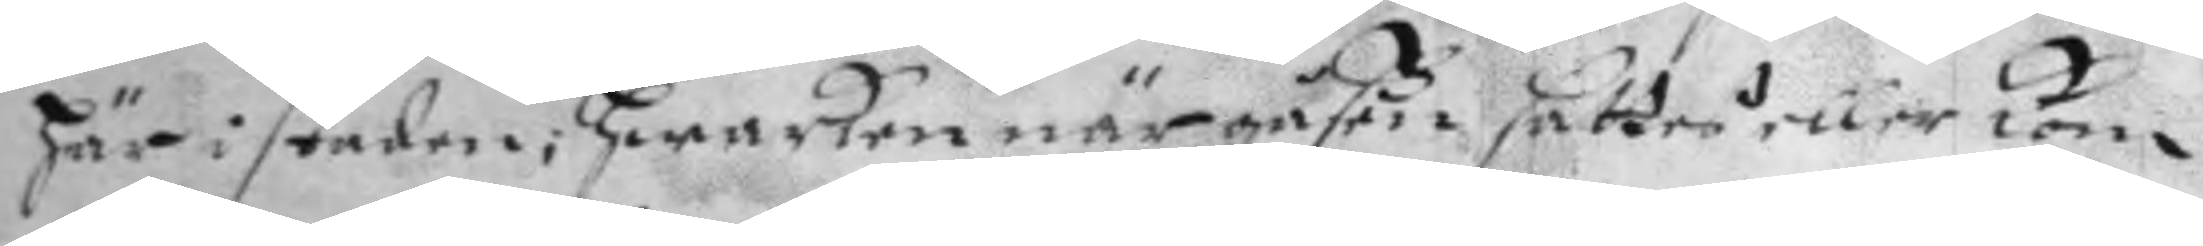här i staden; hwarken när gåßen sattes eller kom
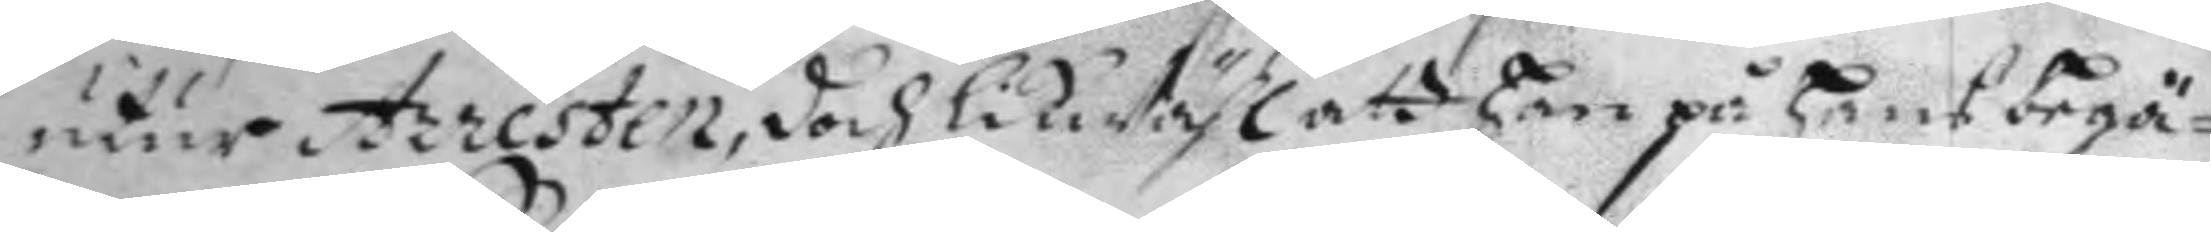utur Arresten, doch likwähl att han på hans begä¬
